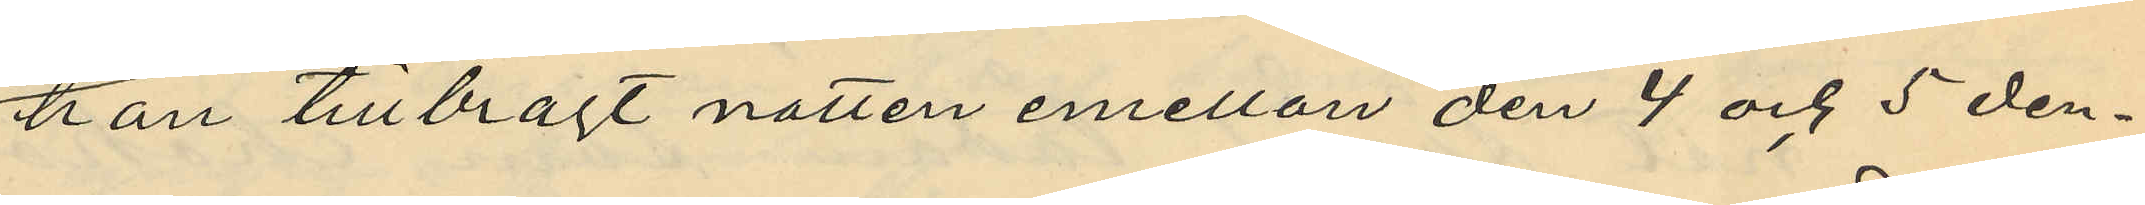han tillbragt natten emellan den 4 och 5 den¬
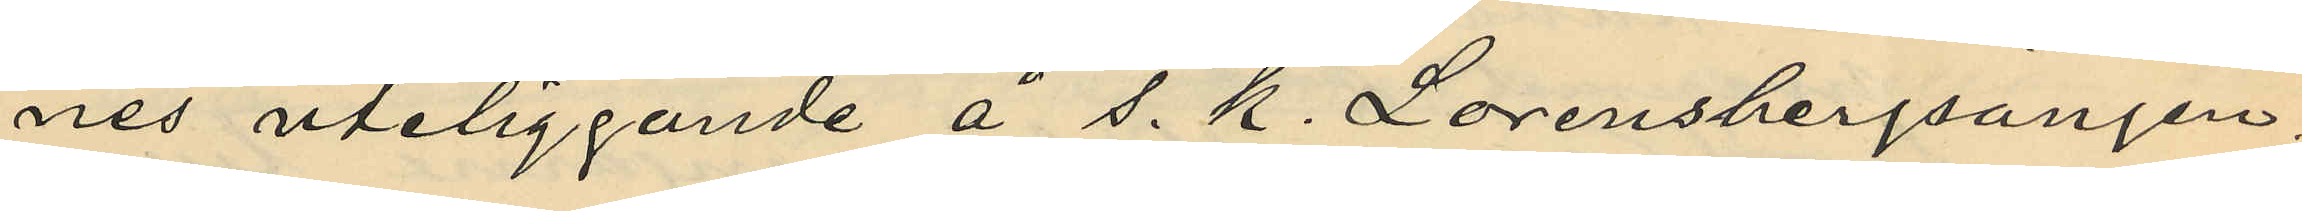nes uteliggande å s. k. Lorensbergsängen,
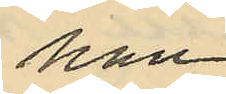han
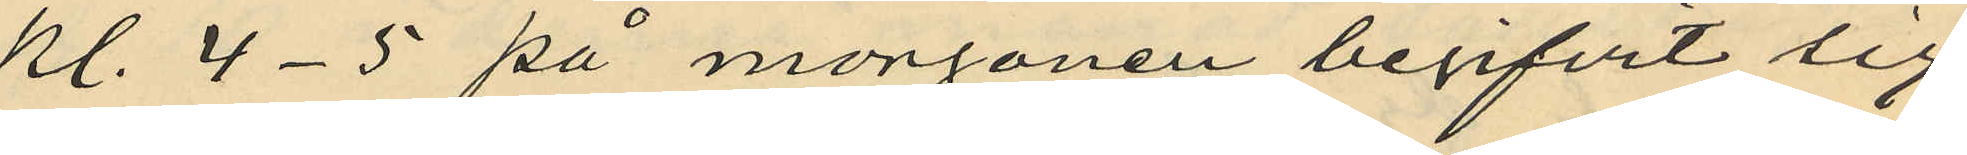kl. 4-5 på morgonen begifvit sig
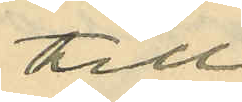till
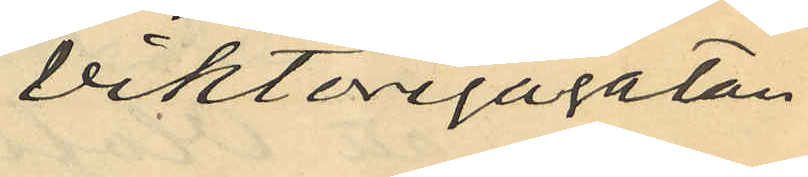Viktoriagatan.
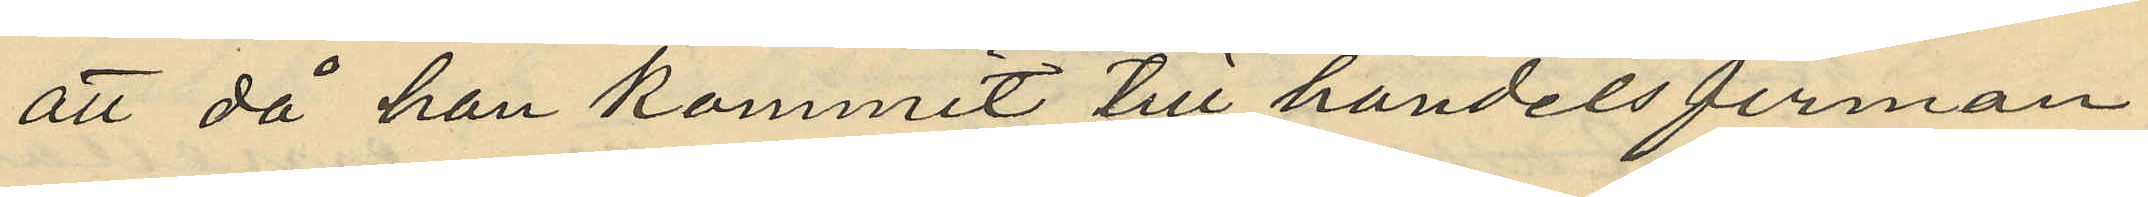att då han kommit till handelsfirman
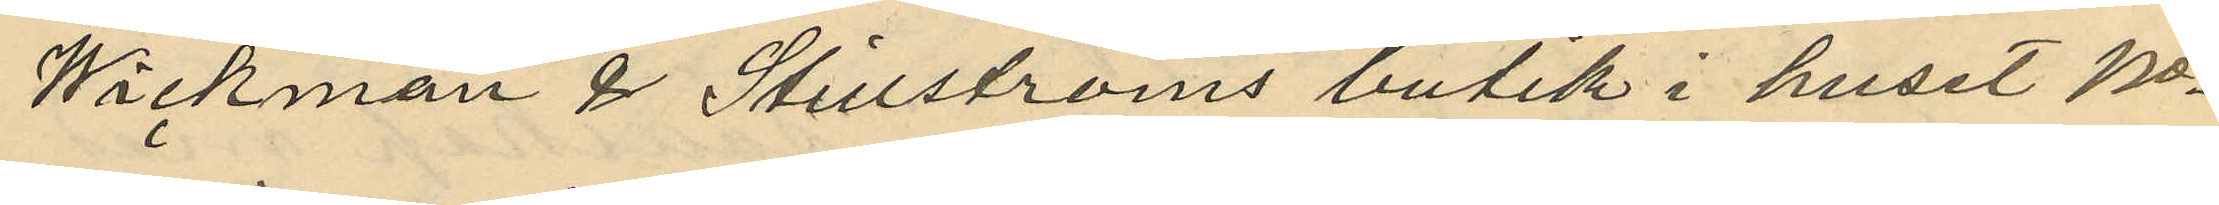Wickman & Stillströms butik i huset No
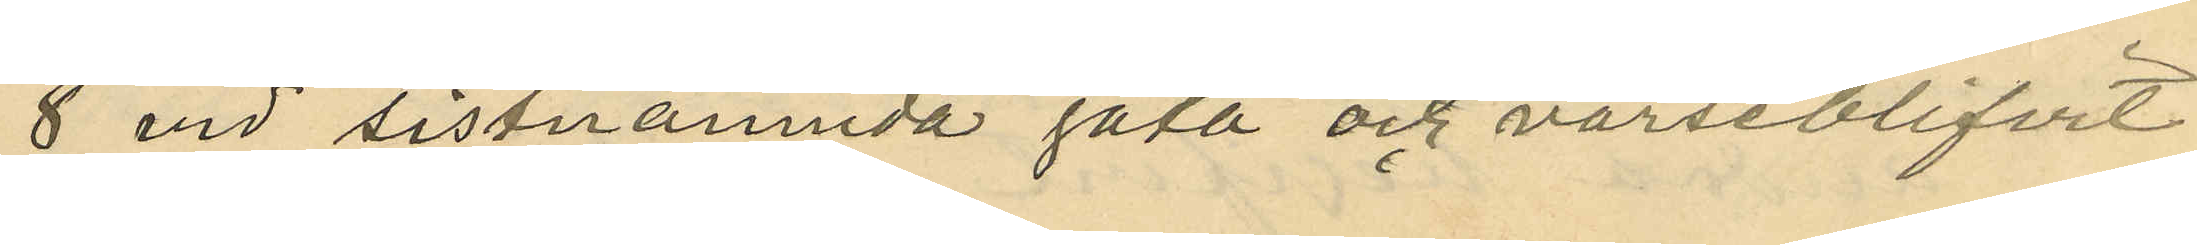8 vid sistnämnda gata och varseblifvit
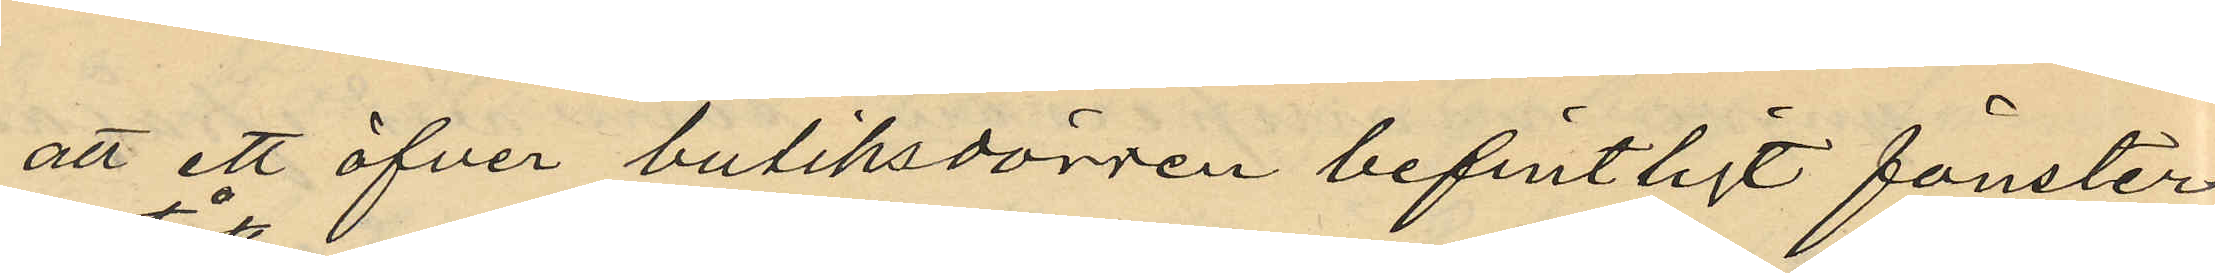att ett öfver butiksdörren befintligt fönster
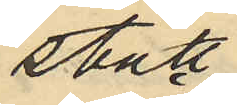stått
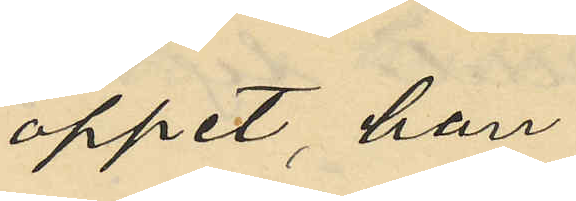öppet, han
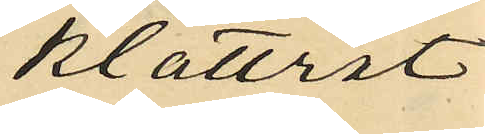klättrat
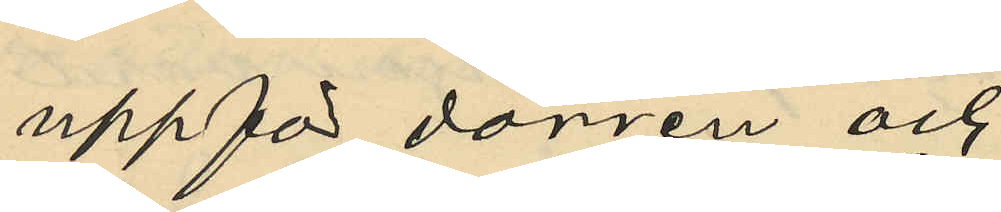uppför dörren och
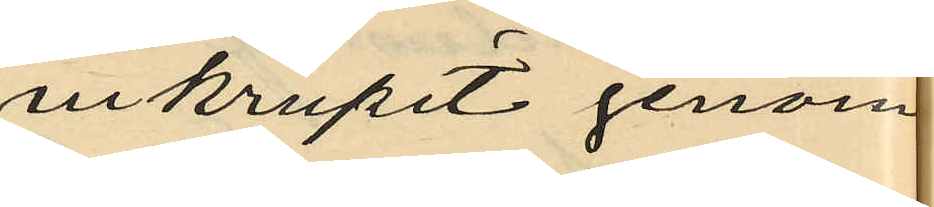inkrupit genom
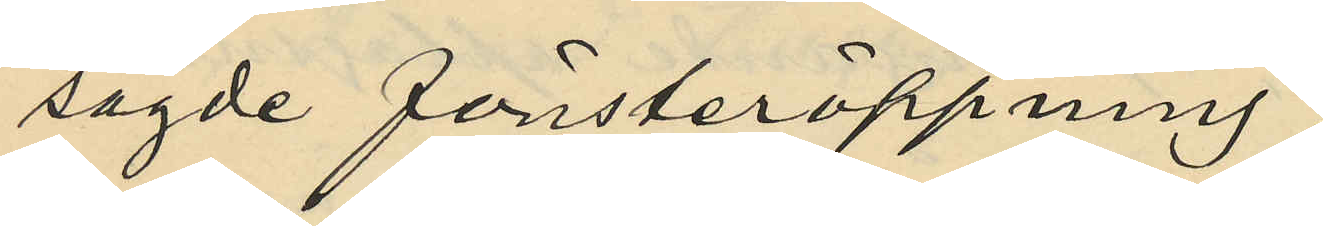sagde fönsteröppning
